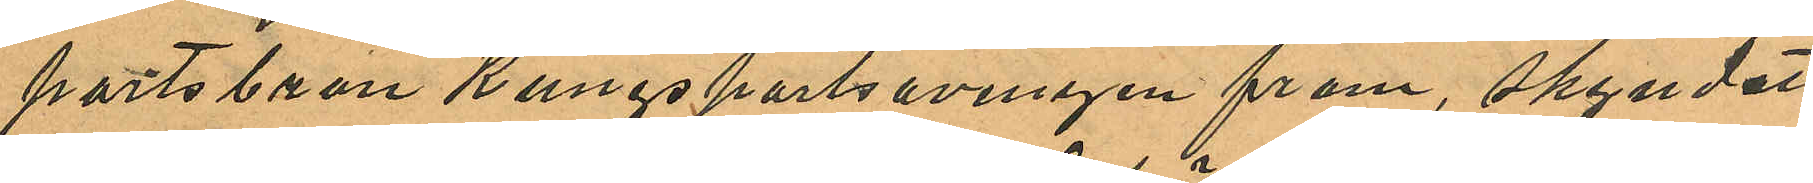portsbron Kungsportsavenyen fram, skyndat
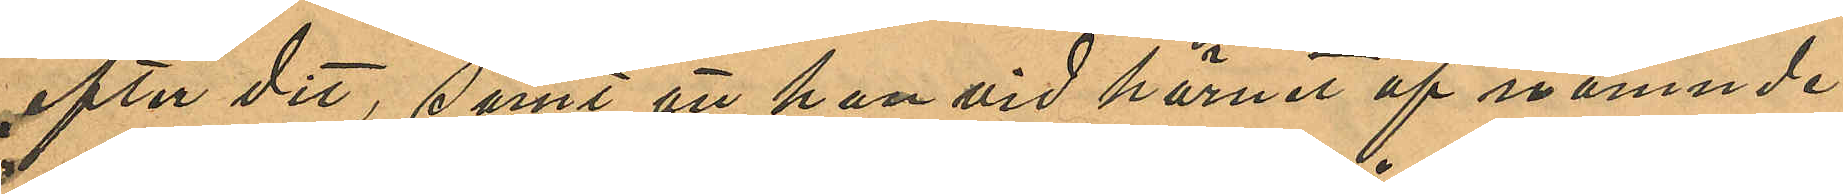efter dit, samt att han vid hörnet af nämnde
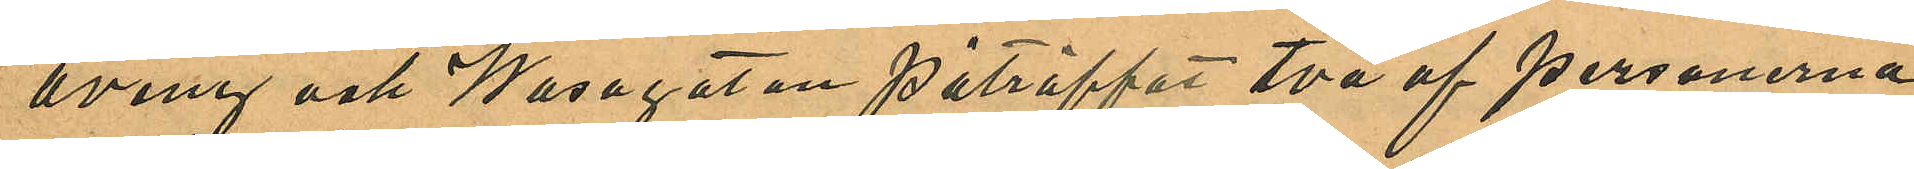aveny och Wasagatan påträffat två af personerna
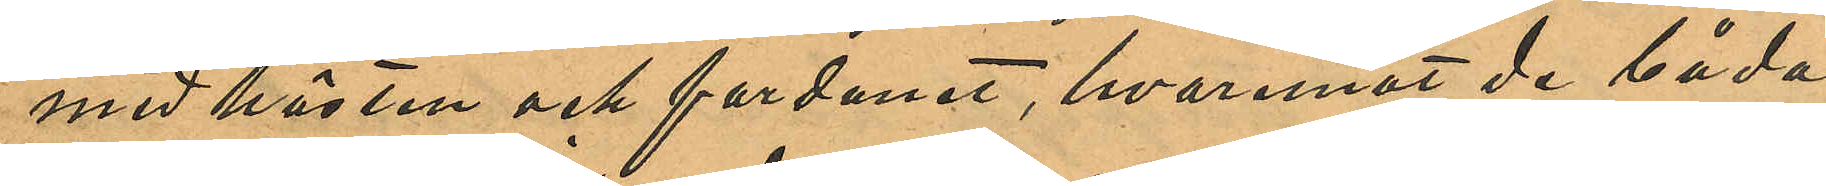med hästen och fordonet, hvaremot de båda
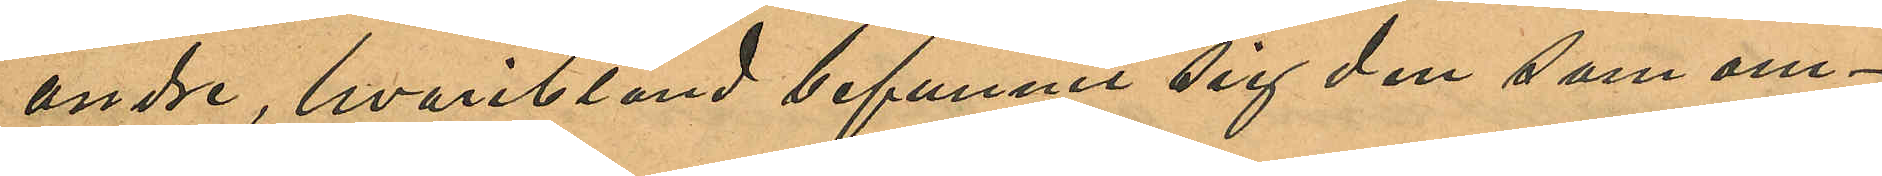andre, hvaribland befunnit sig den som om¬
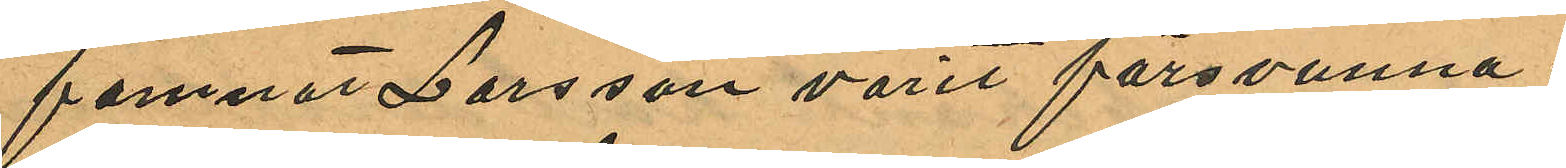famnat Larsson varit försvunna.
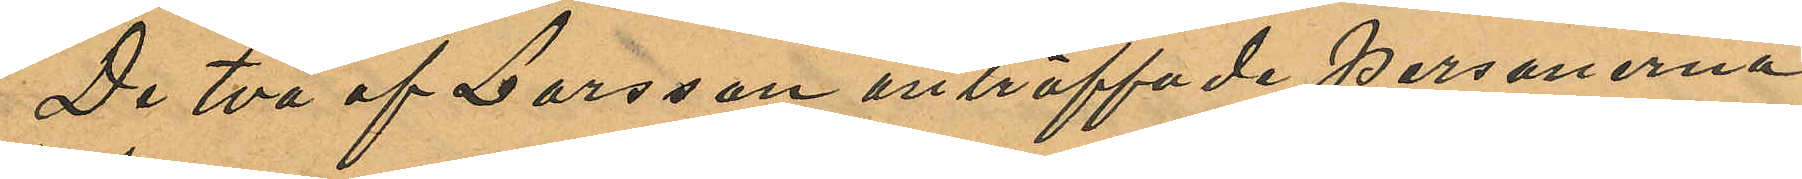De två af Larsson anträffade personerna
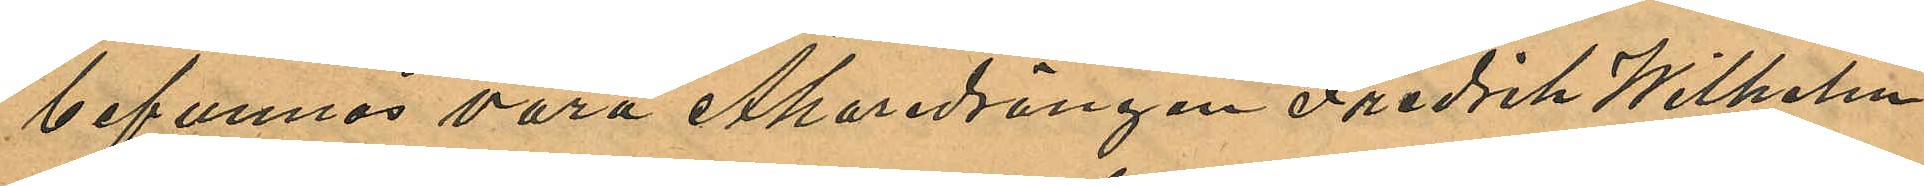befunnos vara Åkaredrängen Fredrik Wilhelm
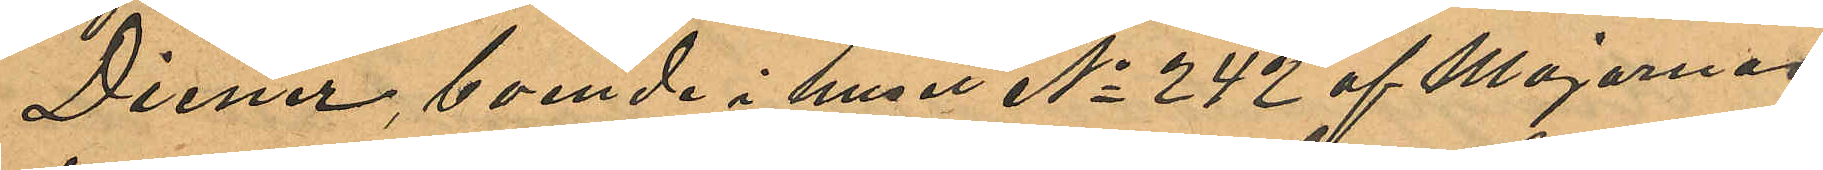Diener, boende i huset No 242 af Majornas
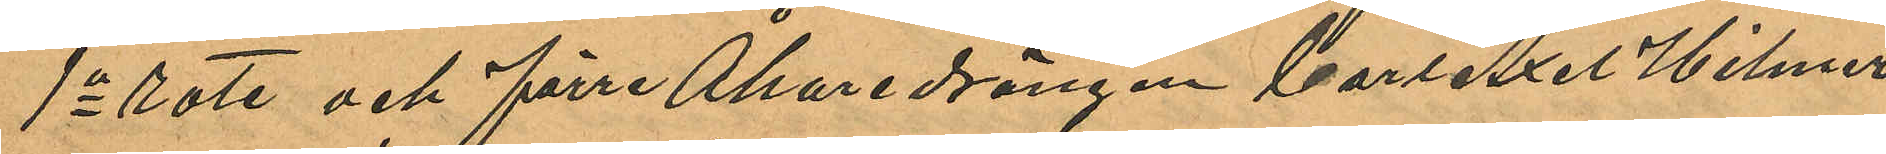1a rote och förre Åkaredrängen Carl Axel Hilmer
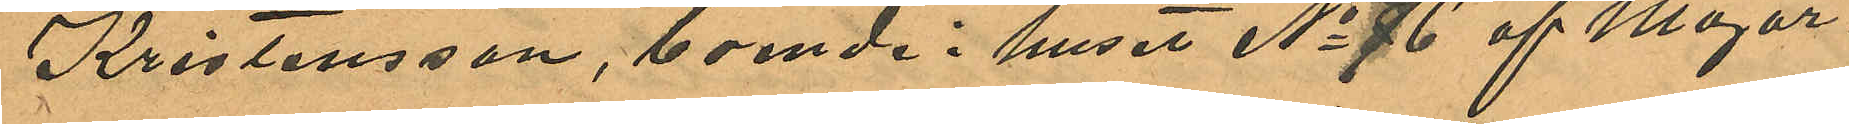Kristensson, boende i huset No 76 af Major¬
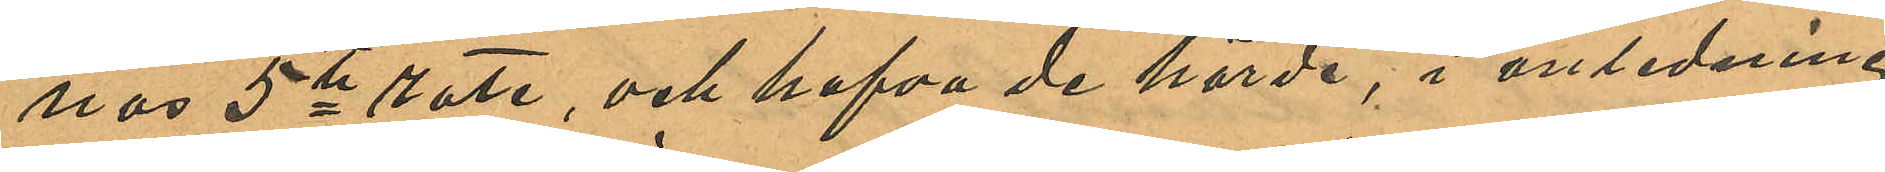nas 5te rote, och hafva de hörde, i anledning
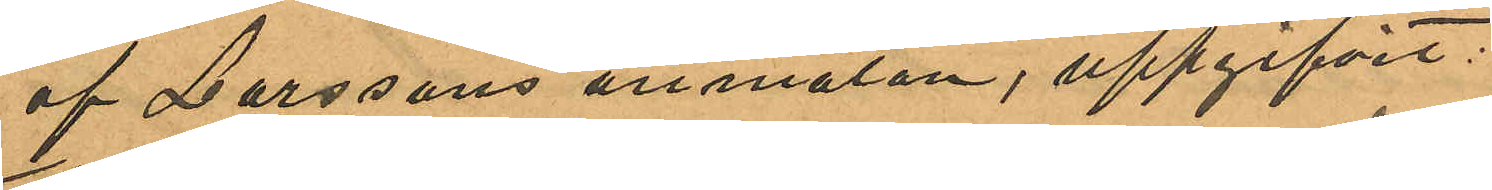af Larssons anmälan, uppgifvit:
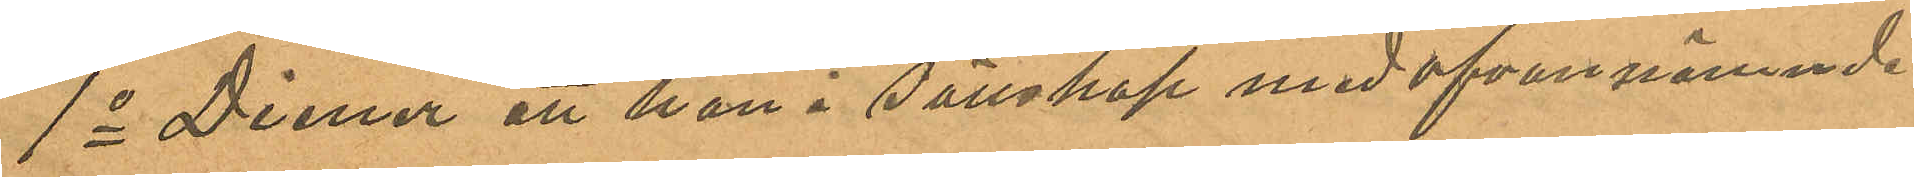1o Diener att han i sällskap med ofvannämnde
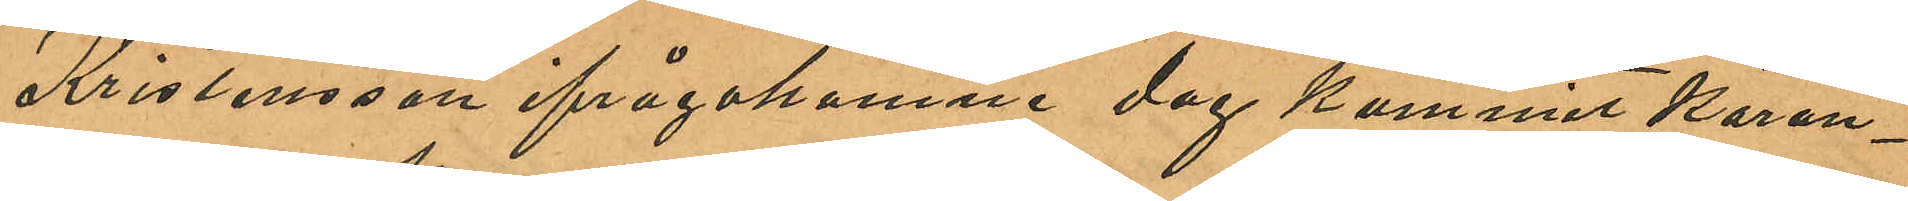Kristensson ifrågakomne dag kommit köran¬
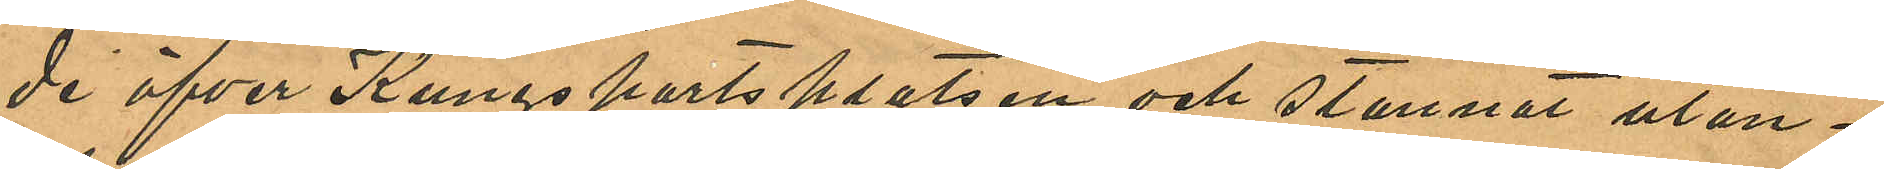de öfver Kungsportsplatsen och stannat utan¬
